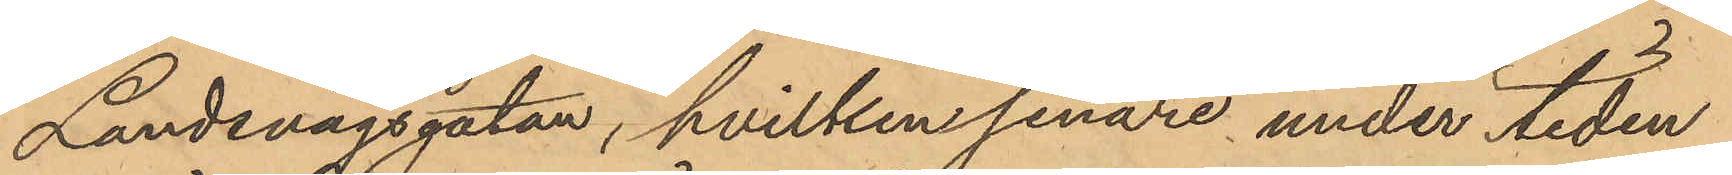Landsvägsgatan, hvilken senare under tiden
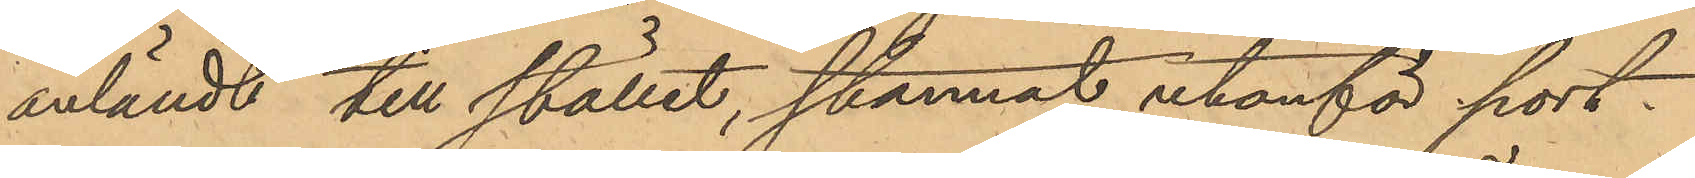anländt till stället, stannat utanför port¬
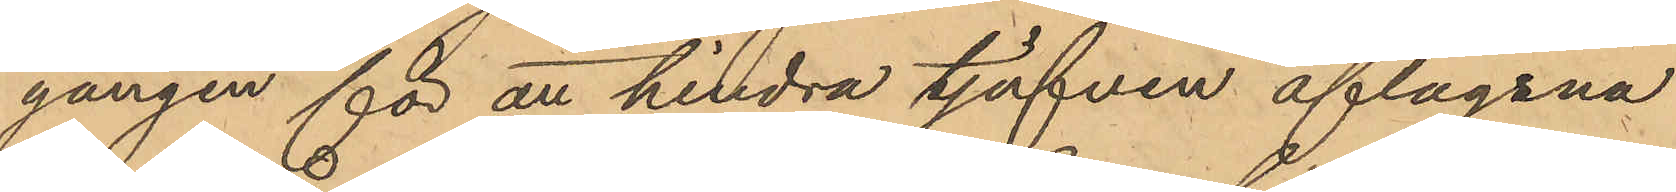gången för att hindra tjufven aflägsna
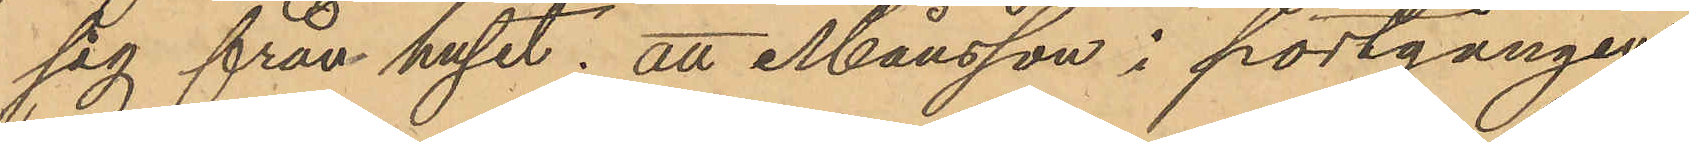sig från huset; att Månsson i portgången
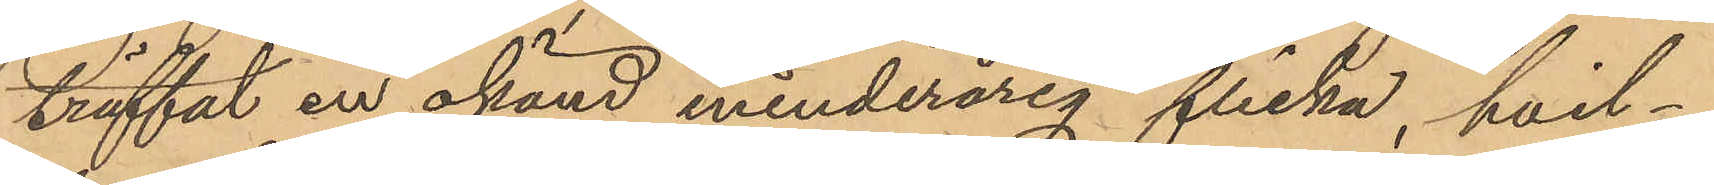träffat en okänd minderårig flicka, hvil¬
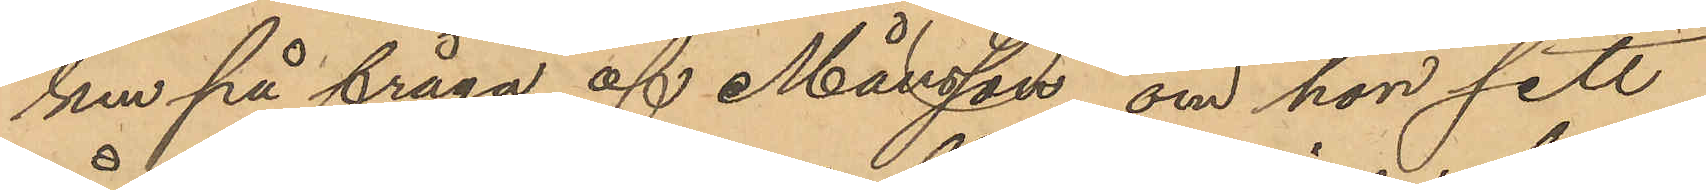ken på fråga af Månsson om hon sett
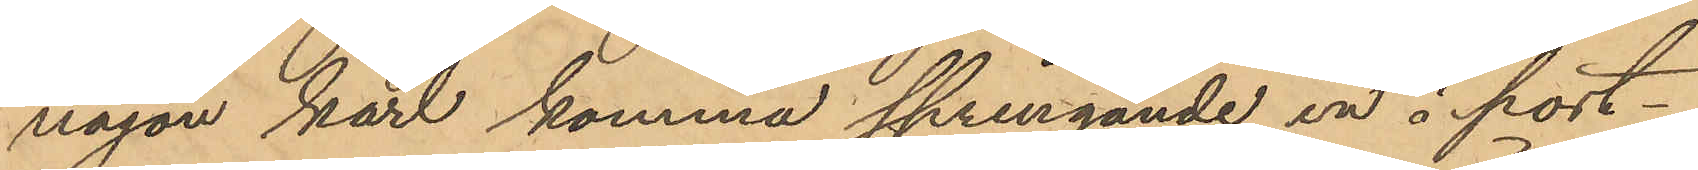någon karl komma springande in i port¬
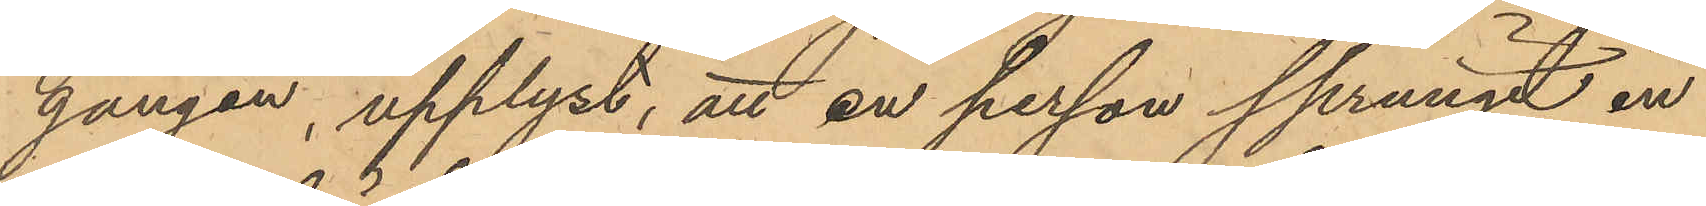gången, upplyst, att en person sprungit in
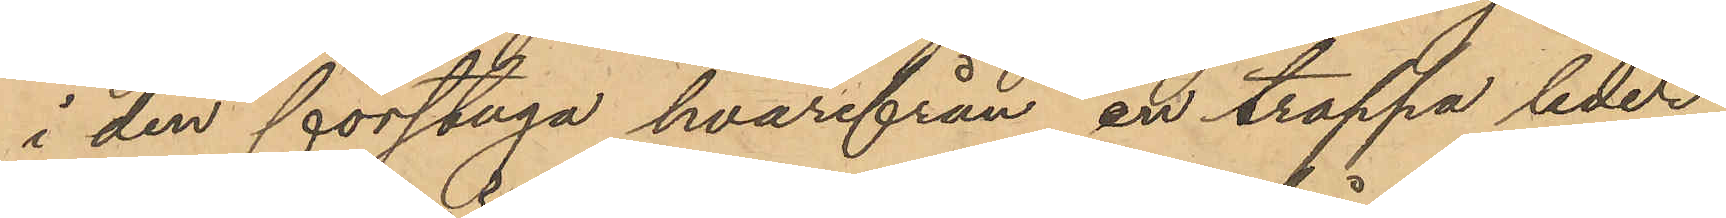i den förstuga hvarifrån en trappa leder
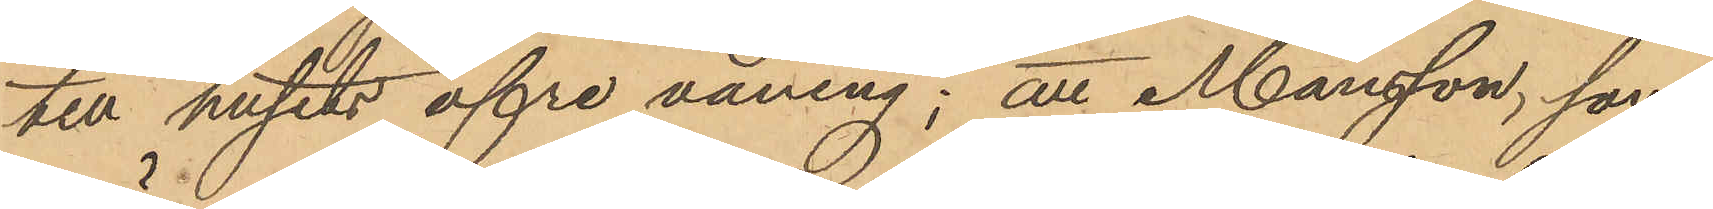till husets öfre våning; att Månsson, som
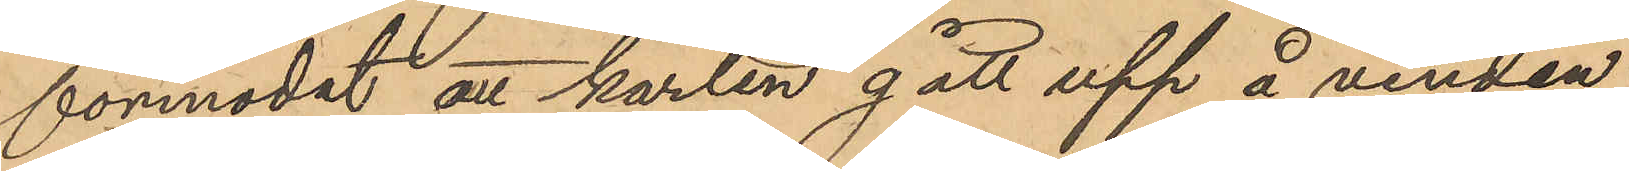förmodat att karlen gått upp å vinden
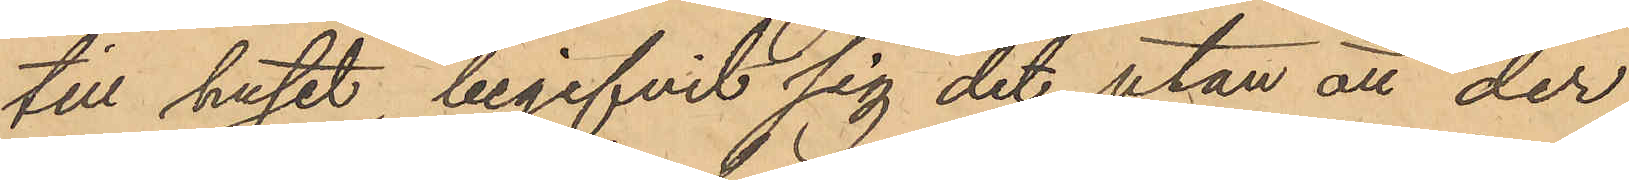till huset begifvit sig dit utan att der
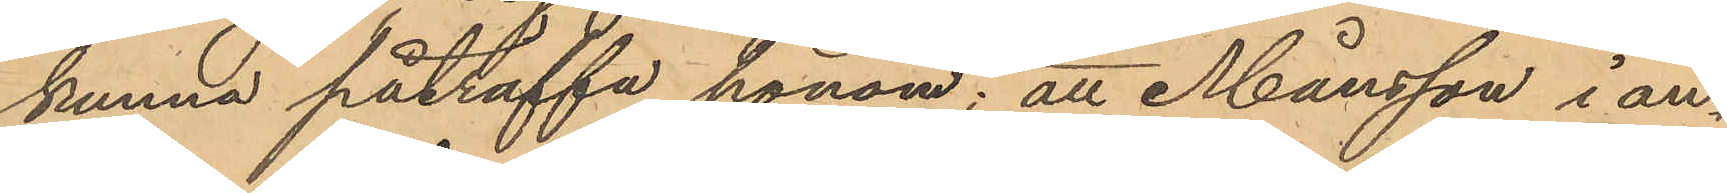kunna påträffa honom; att Månsson i an¬
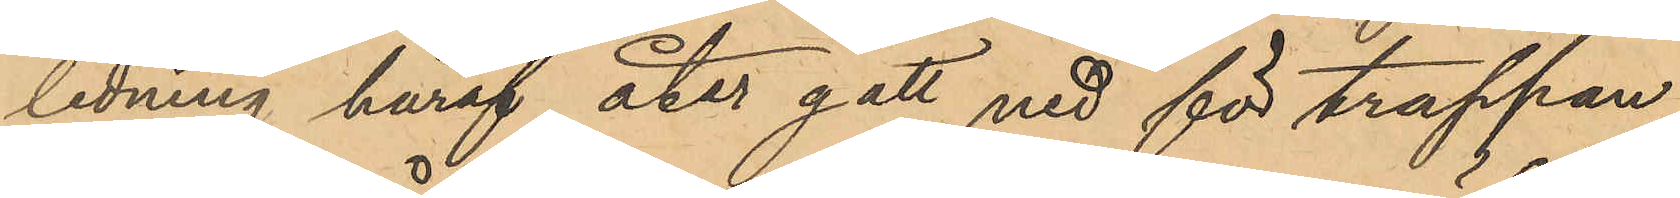ledning häraf åter gått ned för trappan
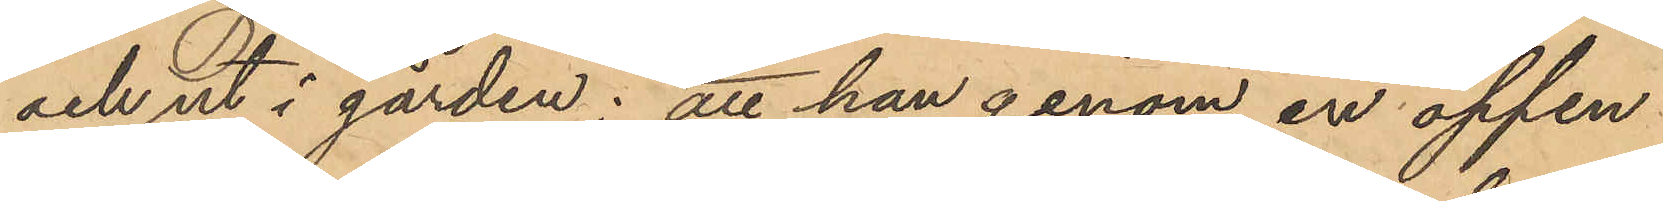och ut i gården; att han genom en öppen 
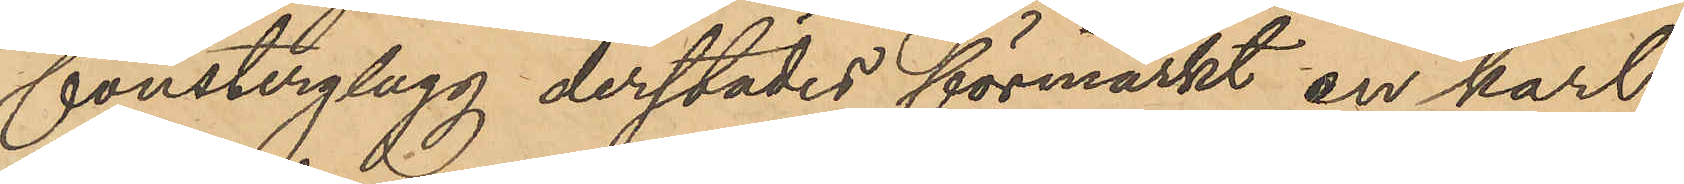fönsterglugg derstädes förmärkt en karl
